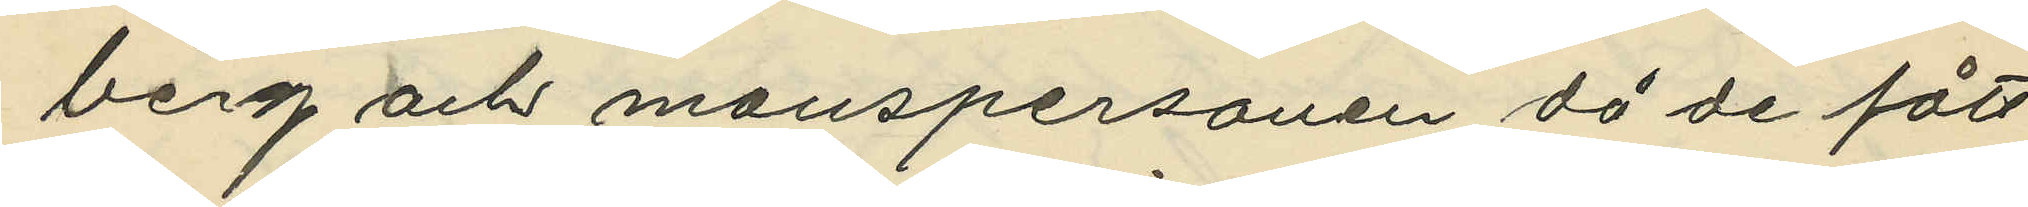berg och manspersonen då de fått
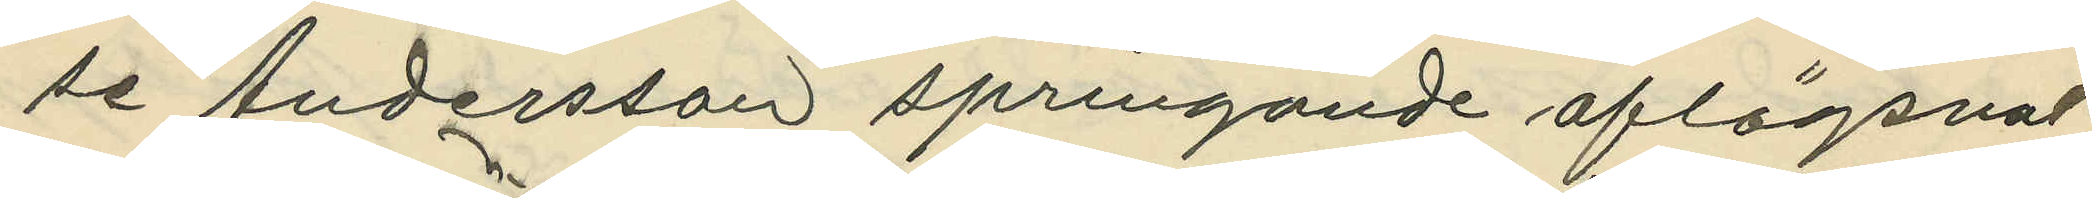se Andersson springande aflägsnat
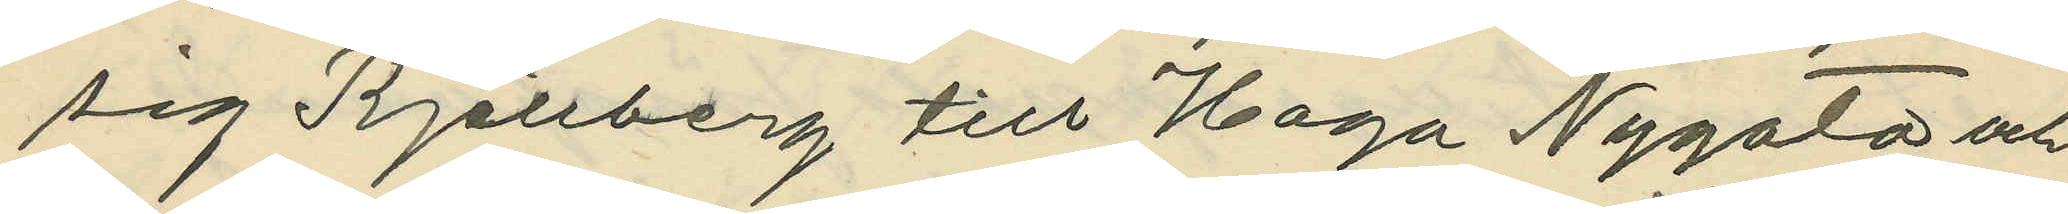sig Kjellberg till Haga Nygata och
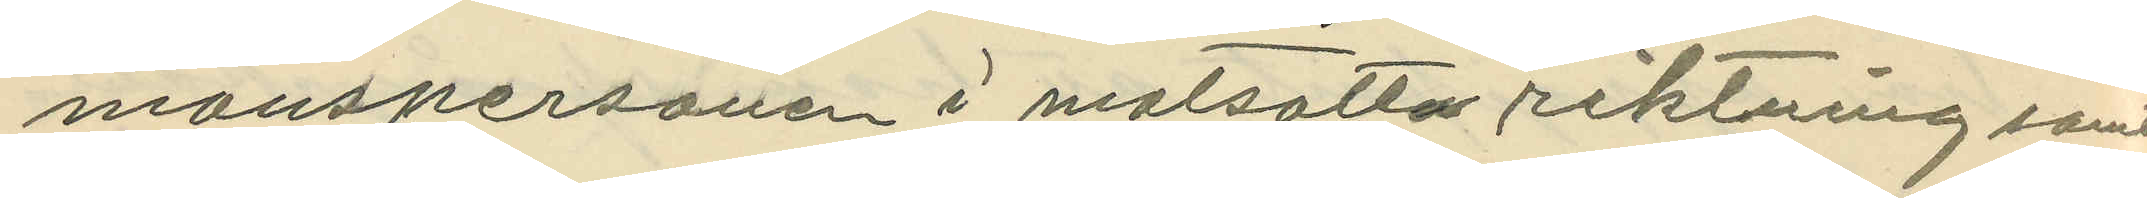manspersonen i motsatta riktning samt
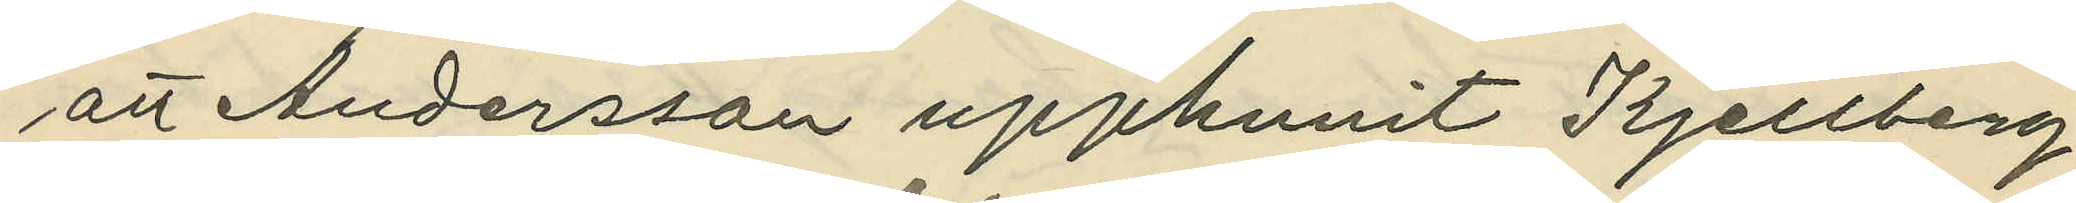att Andersson upphunit Kjellberg,
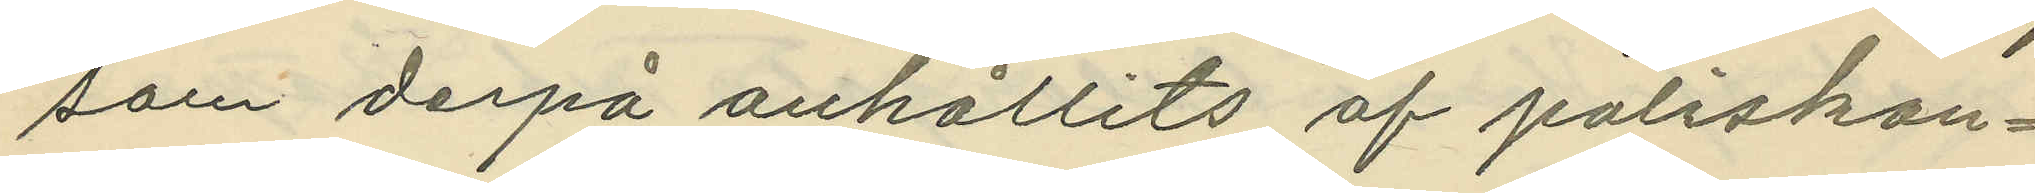som derpå anhållits af poliskon¬
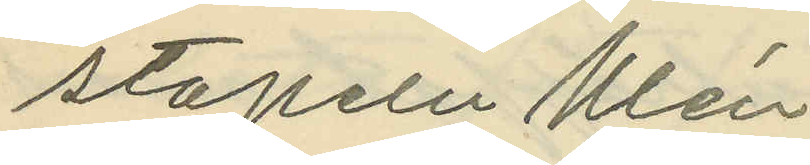stapeln Ulén.
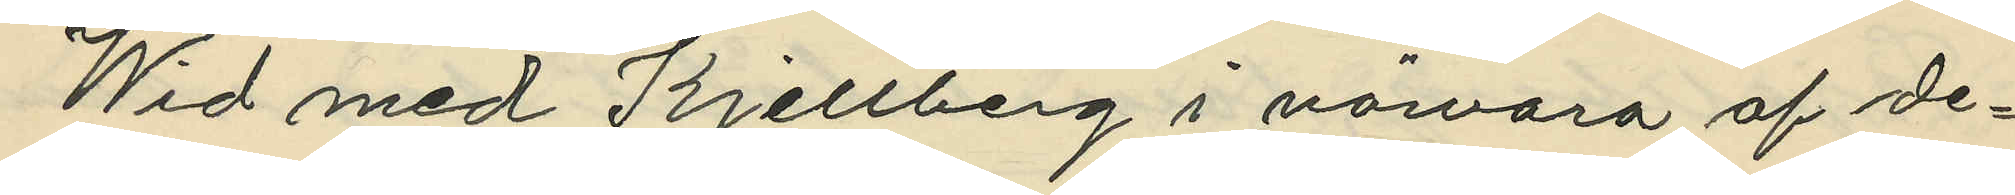Wid med Kjellberg i närvaro af de¬
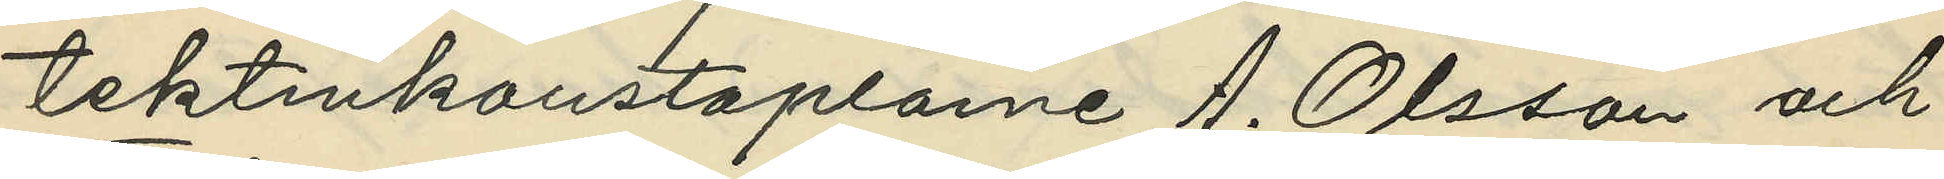tektivkonstaplarne A. Olsson och
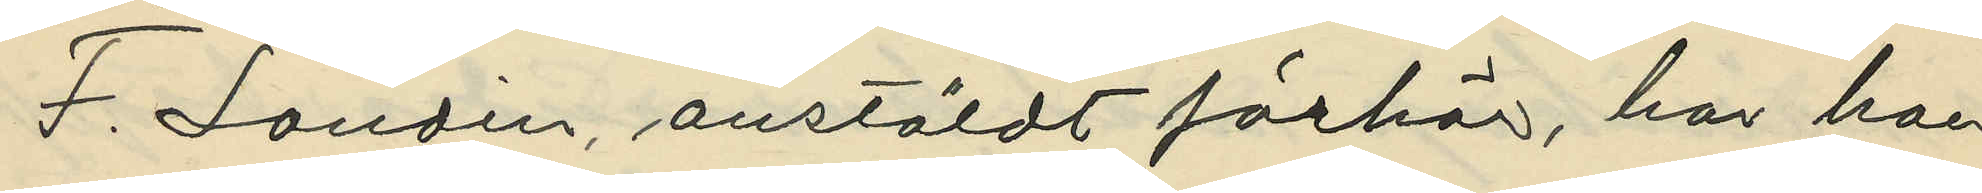F. Landin, anstäldt förhör, har hon
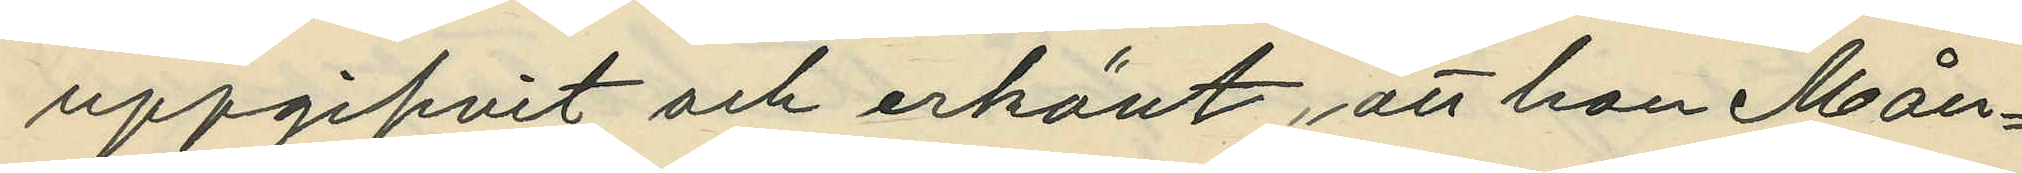uppgifvit och erkänt, att hon Mån¬
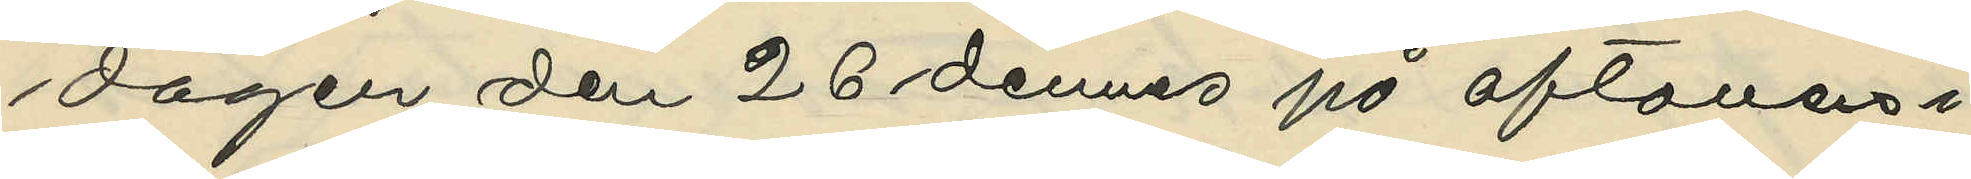dagen den 26 dennes på aftonen i
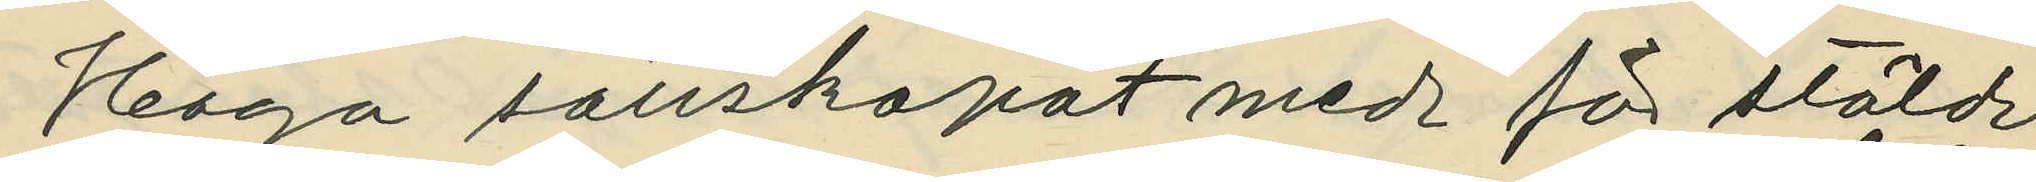Haga sällskapat med för stöld
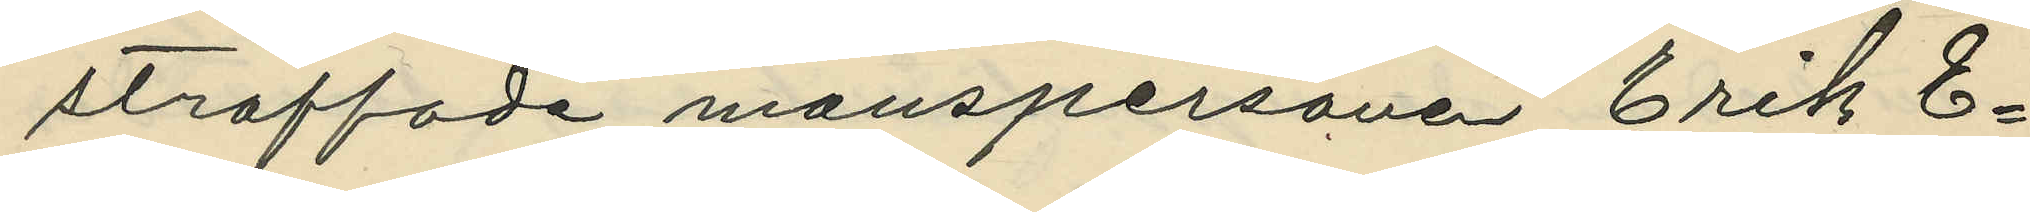straffade manspersonen Erik E¬
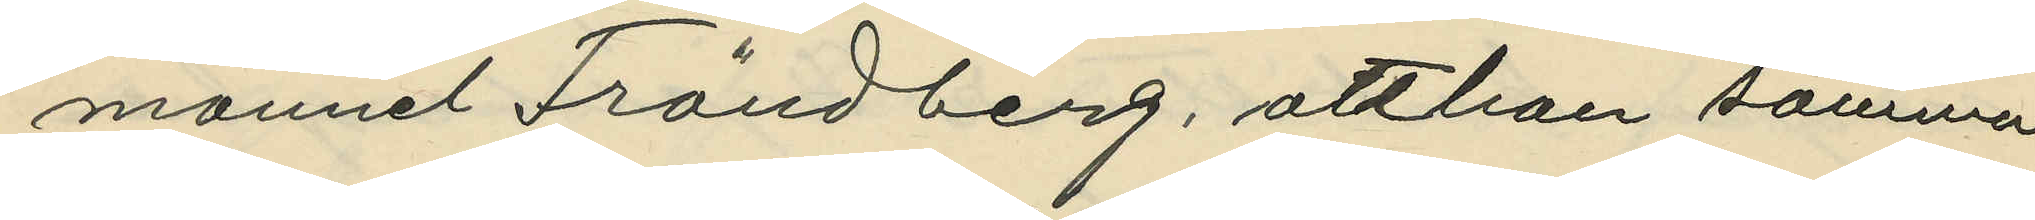manuel Frändberg, att hon samma
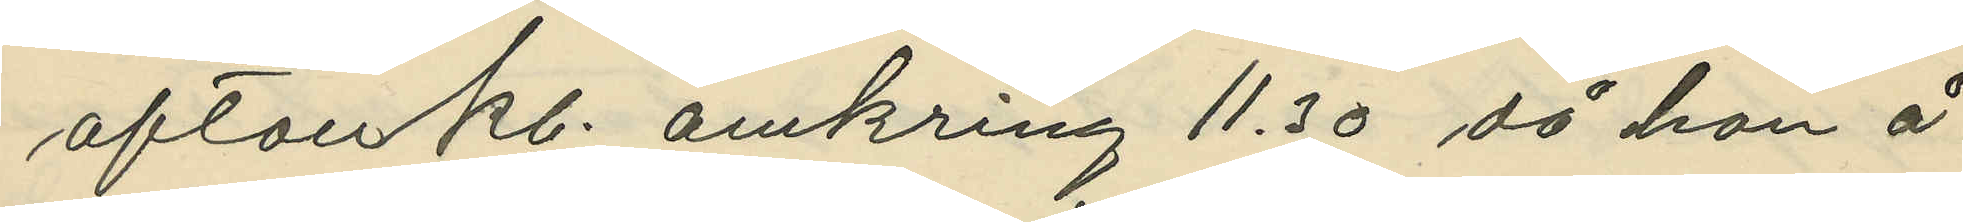afton kl. omkring 11.30, då hon å
